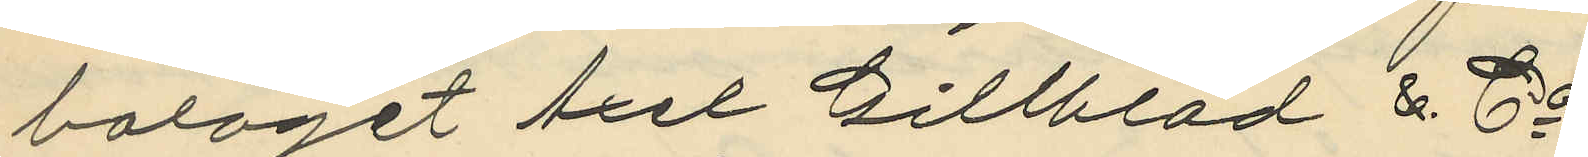bolaget Axel Gillblad & Co.
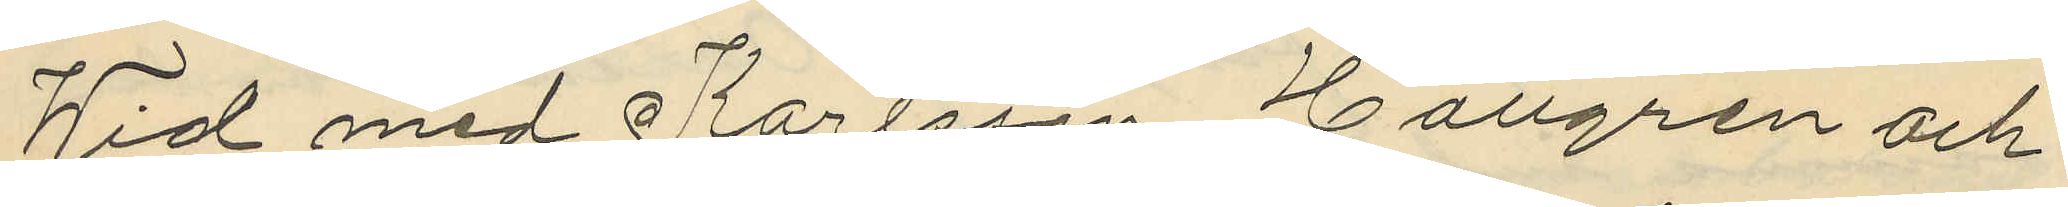Wid med Karlsson, Hallgren och
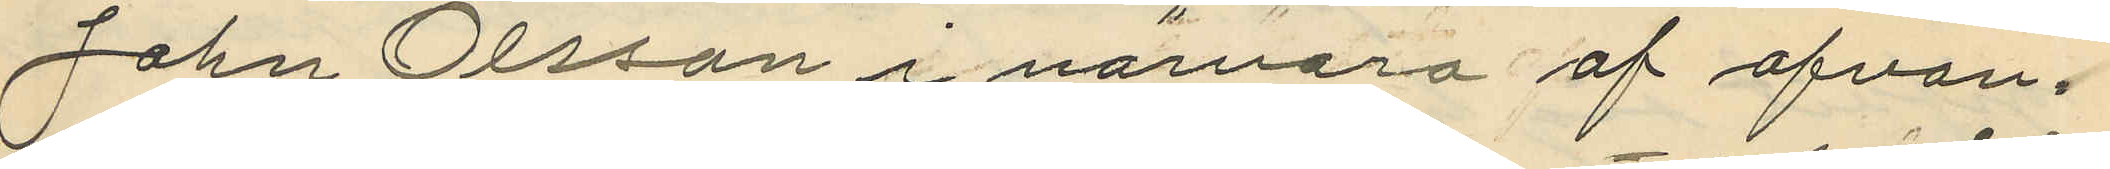John Olsson i nävaro af ofvan¬
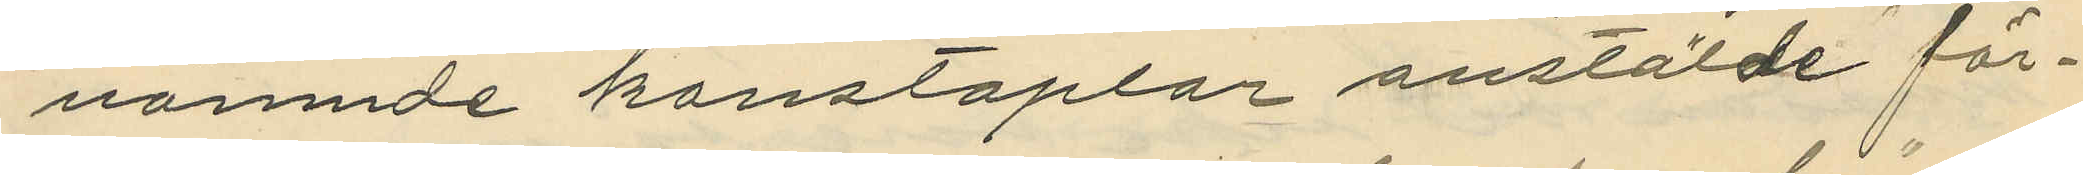nämnde konstaplar anstälde för¬
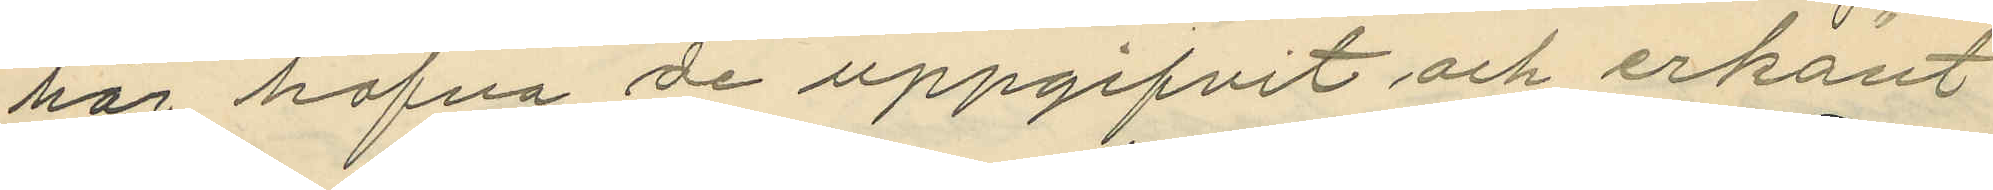hör hafva de uppgifvit och erkänt
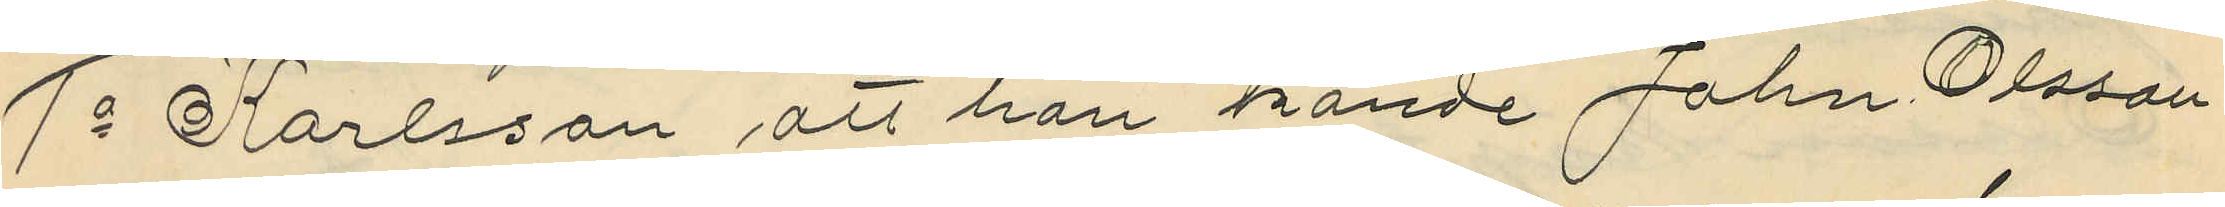1o Karlsson att han kände John Olsson
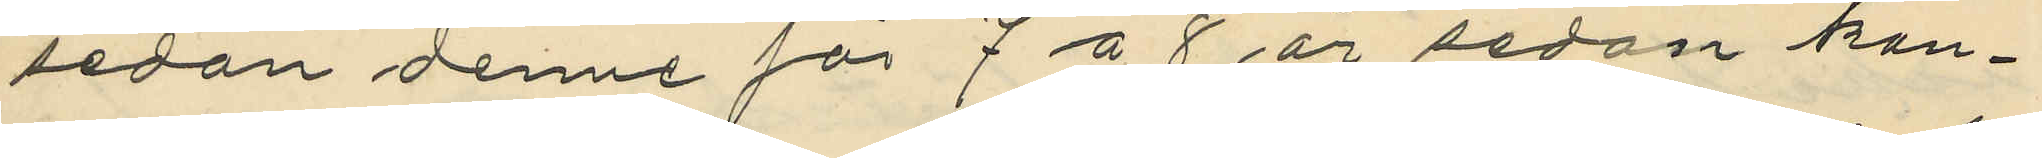sedan denne för 7 á 8 år sedan kon¬
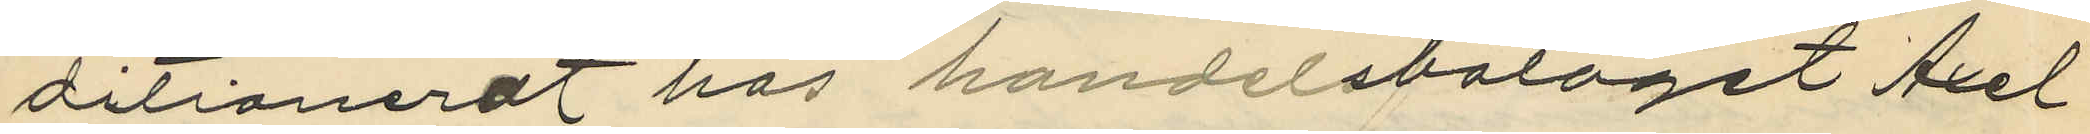ditionerat hos handelsbolaget Axel
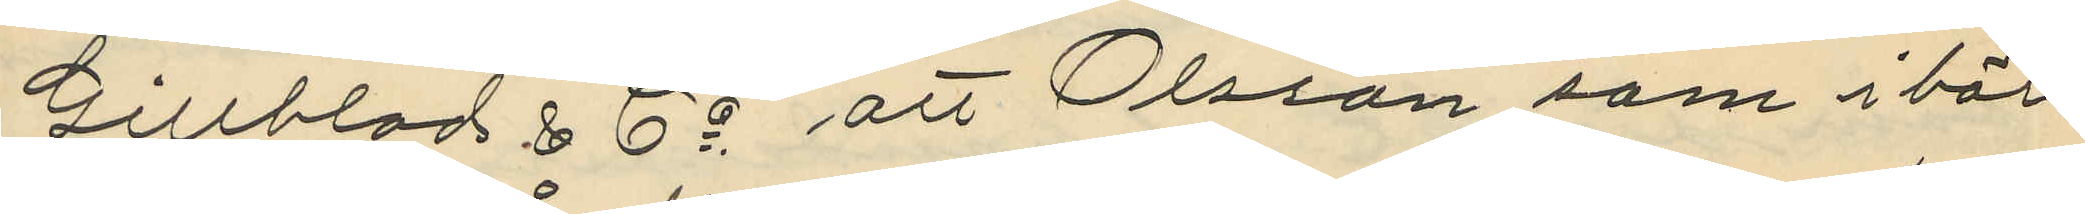Gillblad & Co. att Olsson som i bör¬
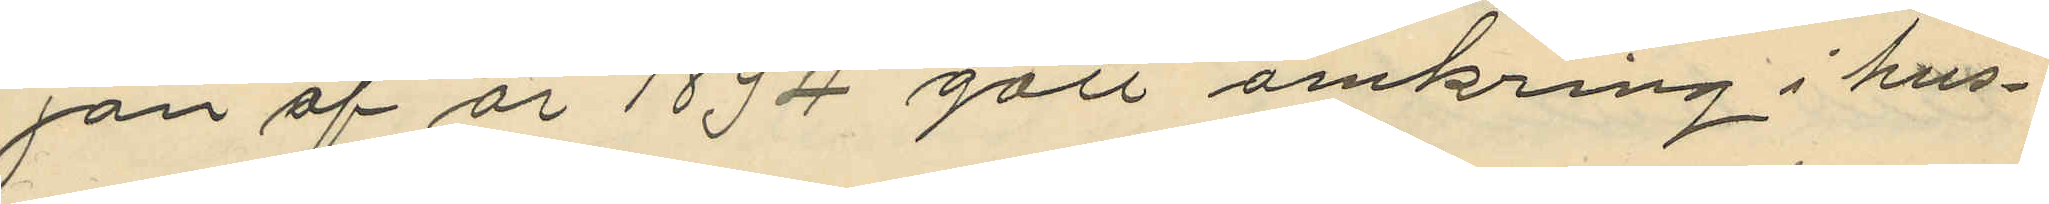jan af år 1894 gått omkring i hus¬
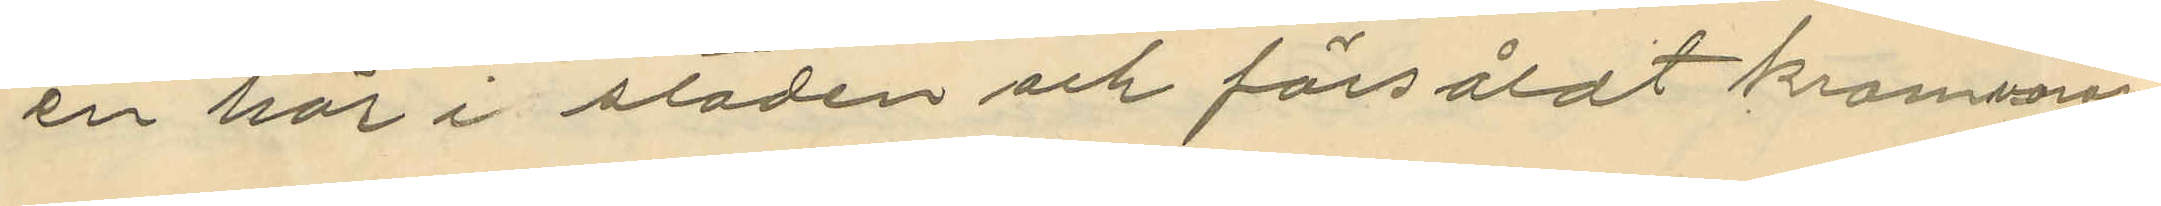en här i staden och försåldt kramvaror
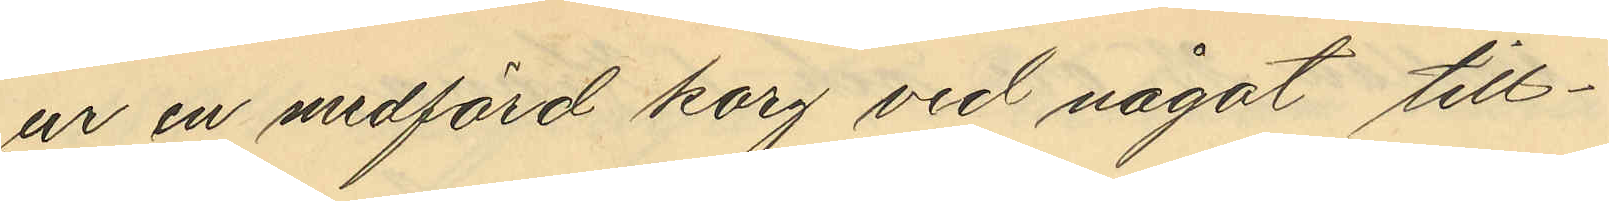ur en medförd korg vid något till¬
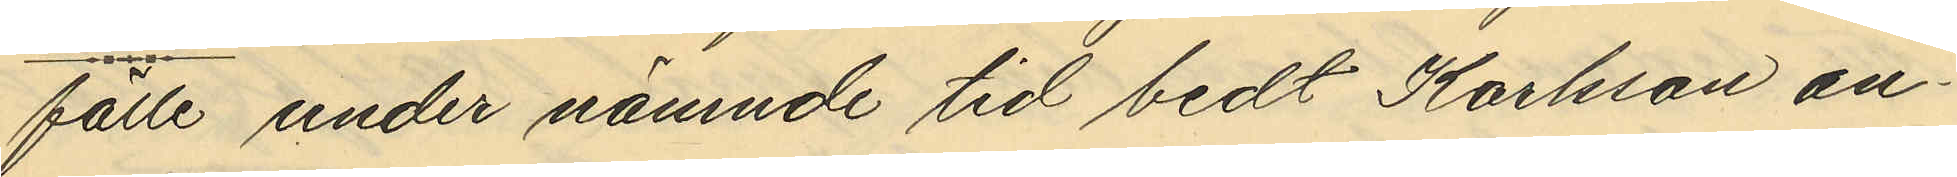fälle under nämnde tid bedt Karlsson an¬
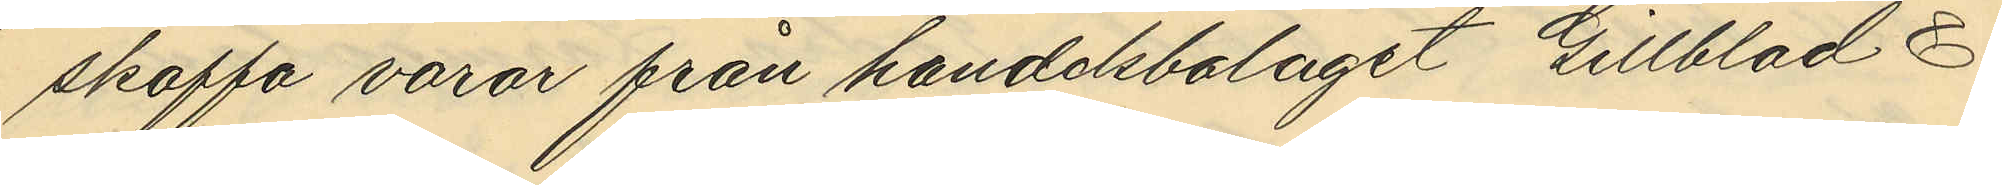skaffa varor från handelsbolaget Gillblad &
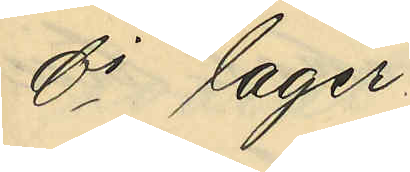Ci lager.
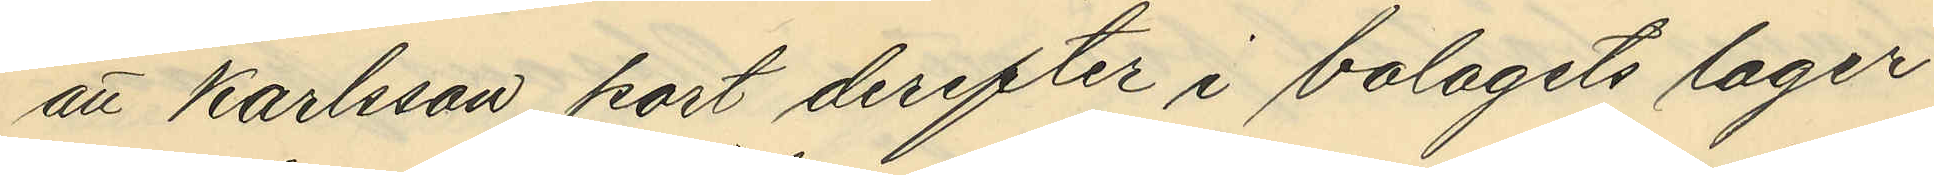att Karlsson kort derefter i bolagets lager¬
